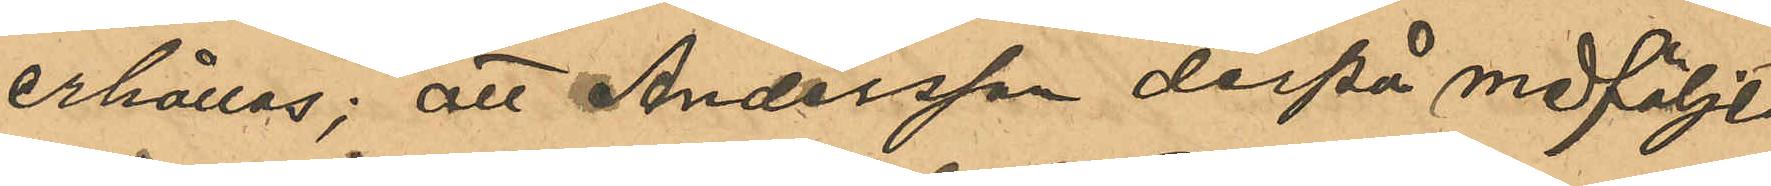erhållas; att Andersson derpå medföljt
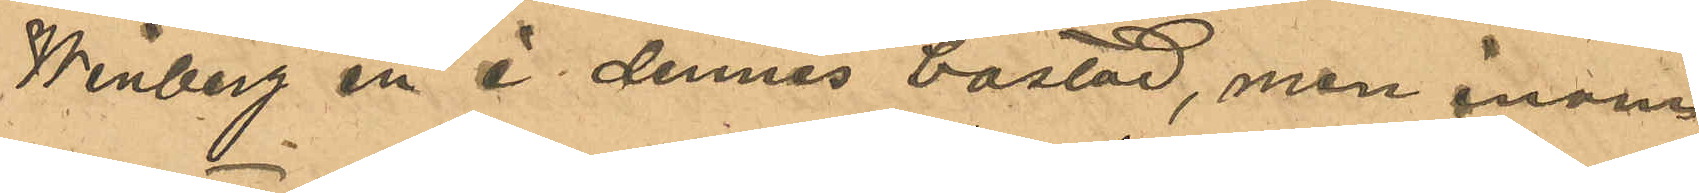Winberg in i dennes bostad, men inom 
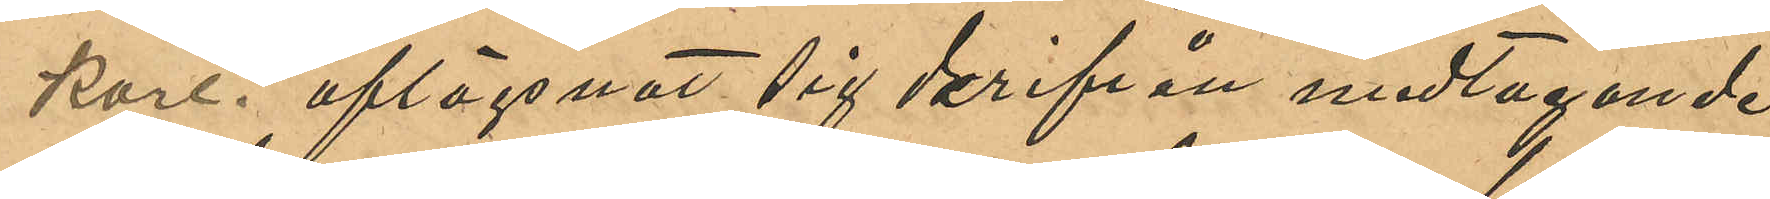kort aflägsnat sig derifrån medtagande 
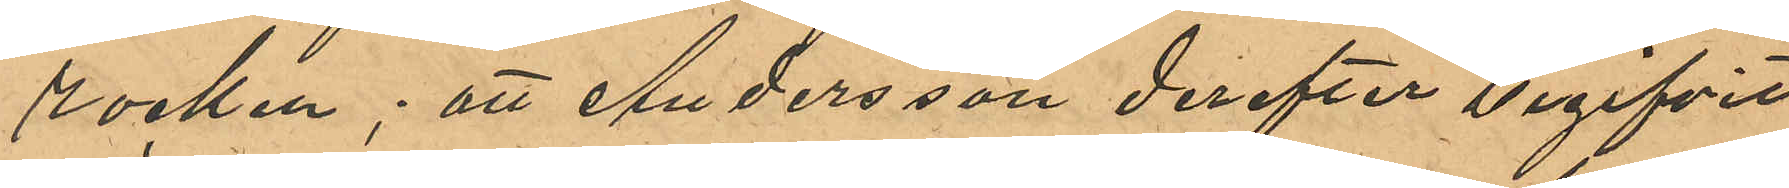rocken; att Andersson derefter begifvit
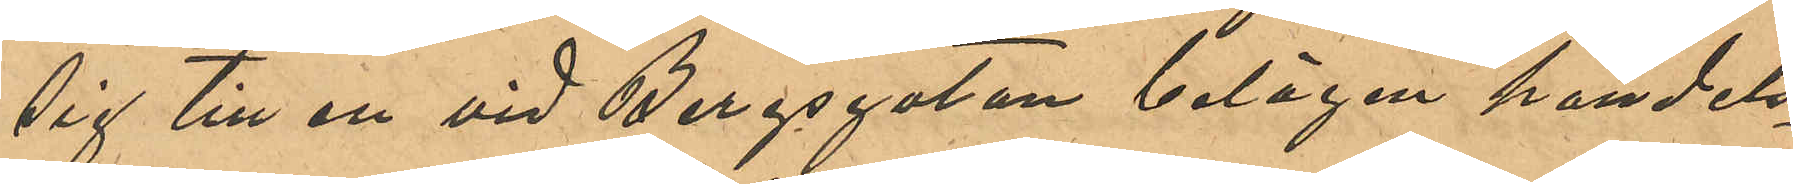sig till en vid Bergsgatan belägen handels¬
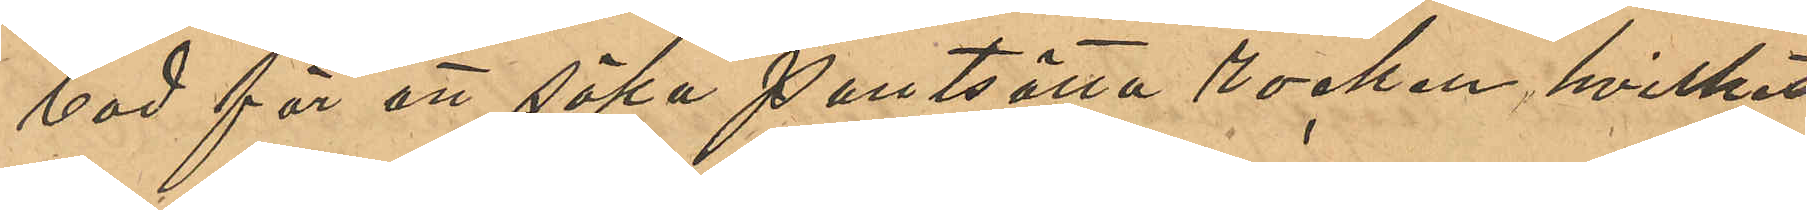bod för att söka pantsätta rocken, hvilket
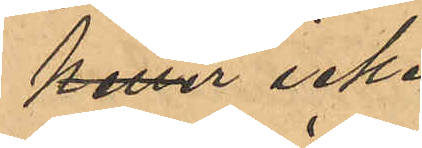heller icke
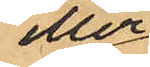eller
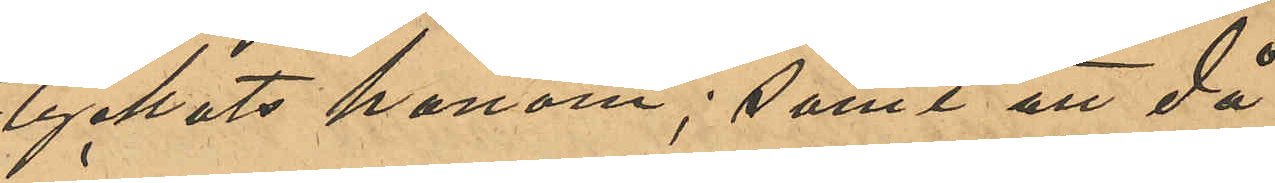lyckats honom; samt att då
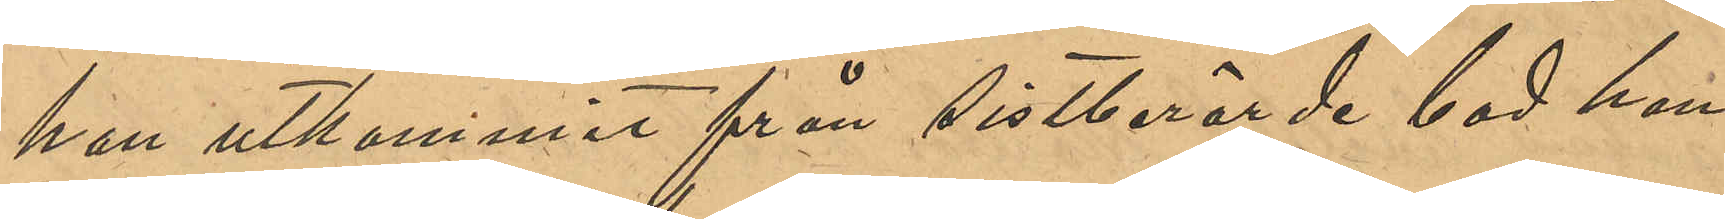han utkommit från sistberörde bod han
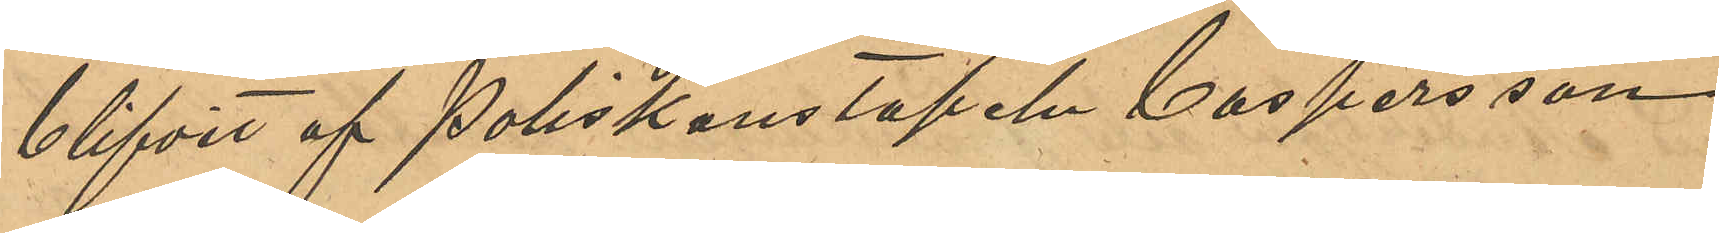blifvit af Poliskonstapeln Caspersson
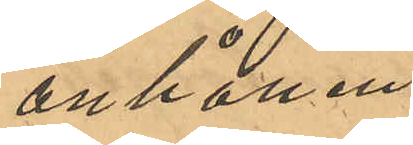anhållen.
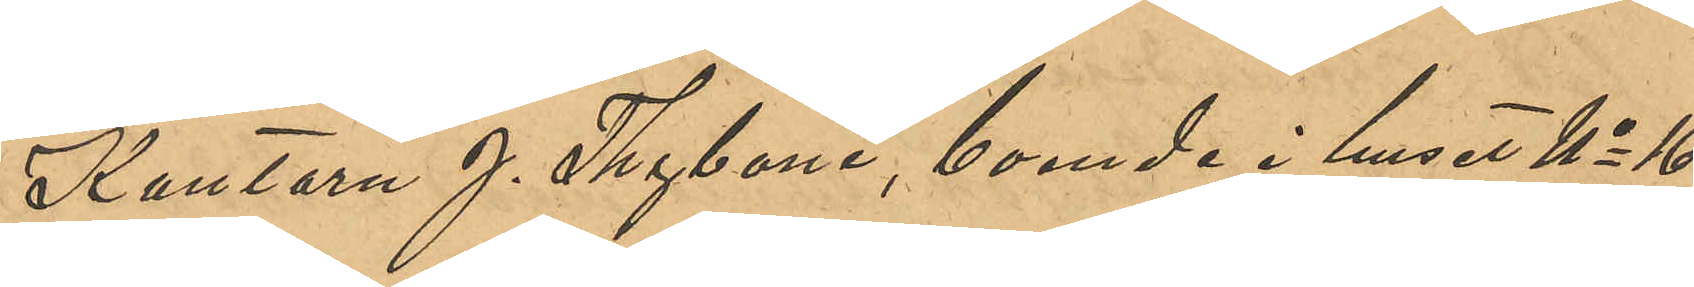Kantorn J. Thyboni, boende i huset No 16
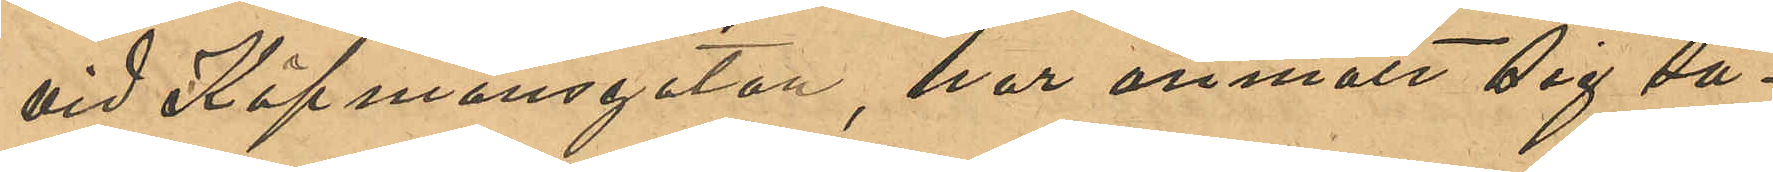vid Köpmansgatan, har anmält sig så¬
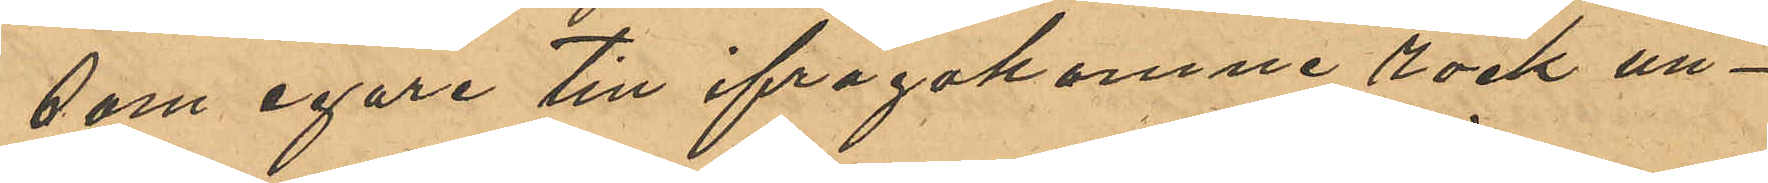som egare till ifrågakomne rock un¬
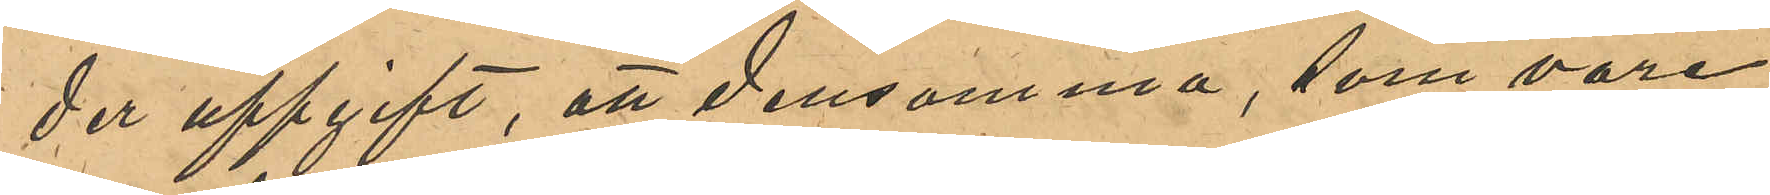der uppgift att densamma, som vore
